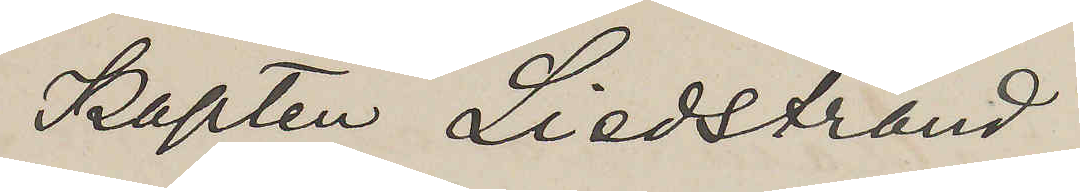Kapten Liedstrand
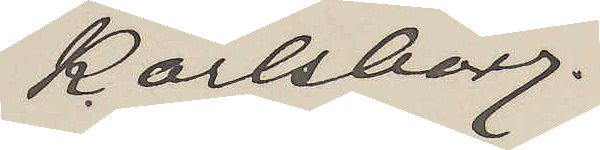Karlsborg.
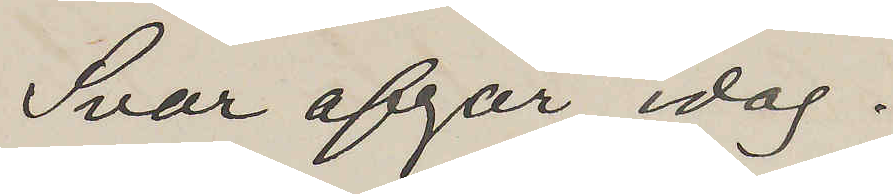Svar afgår idag.
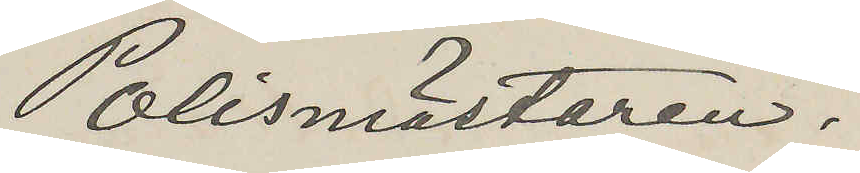Polismästaren.
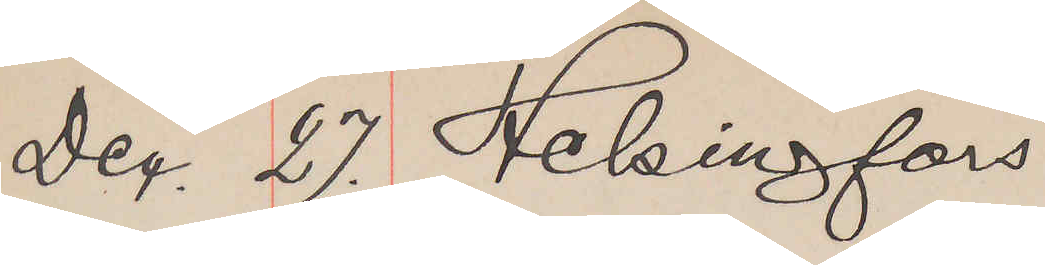Dec. 27. Helsingfors
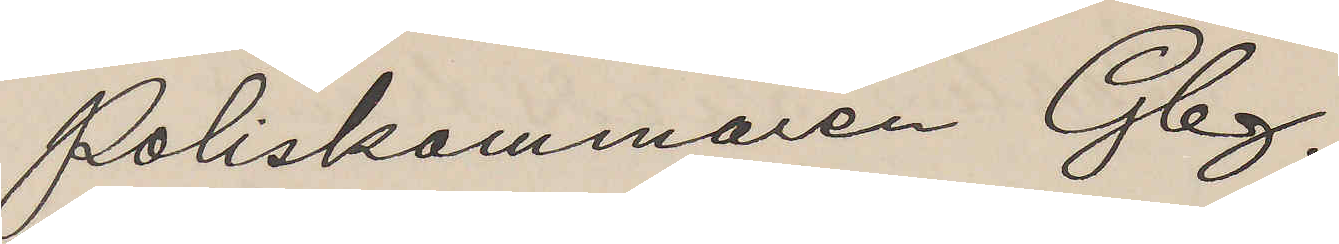Poliskammaren Gbg.
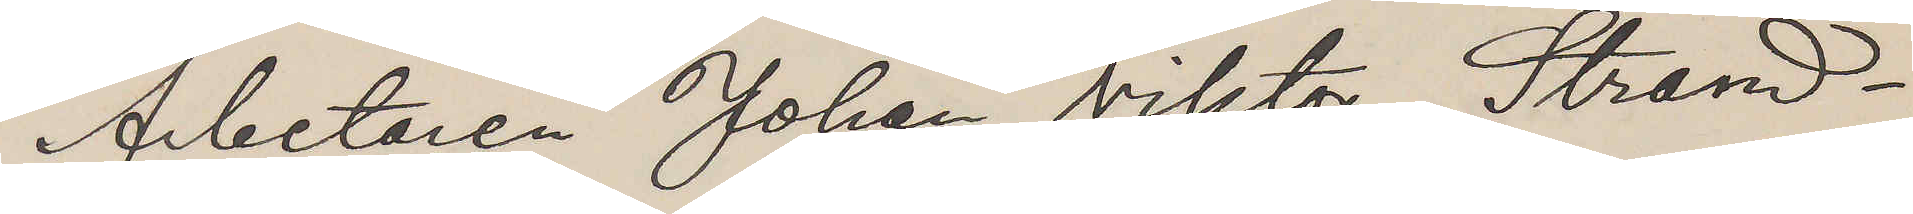Arbetaren Johan Viktor Strand¬
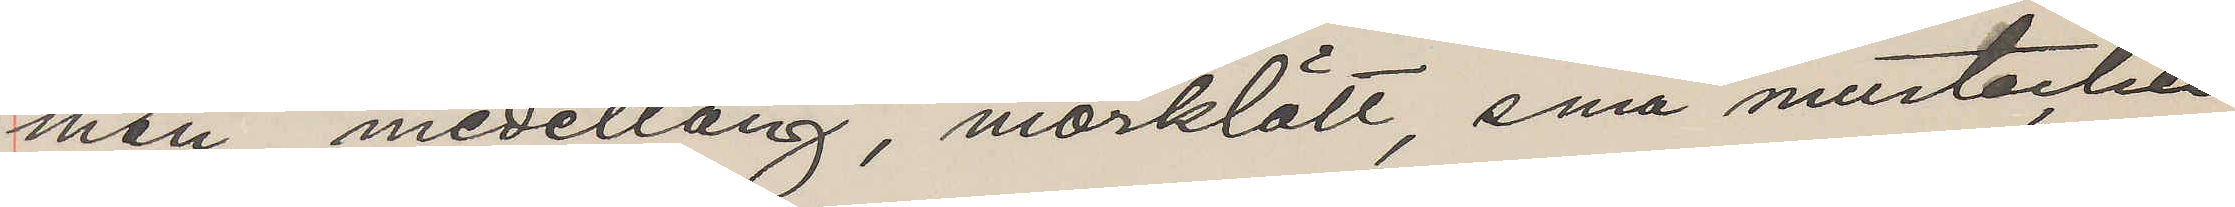man, medellång, mörklätt, små mustacher
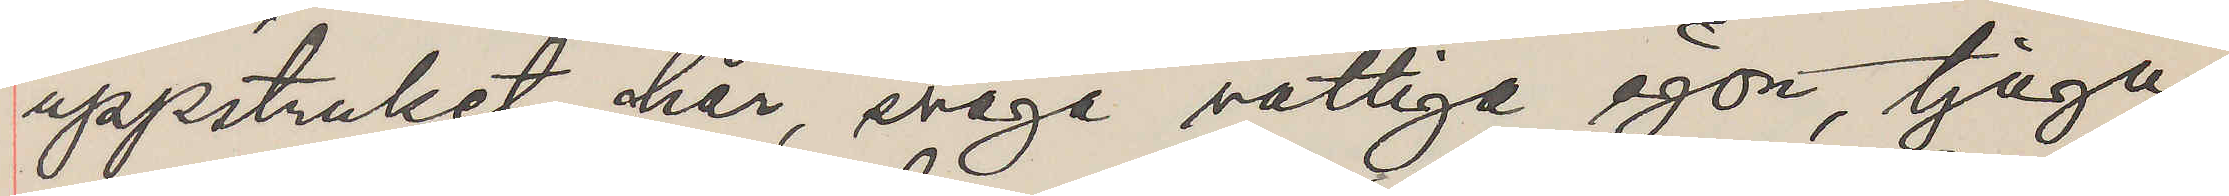uppstruket hår, svaga vattiga ögon, tjugu¬
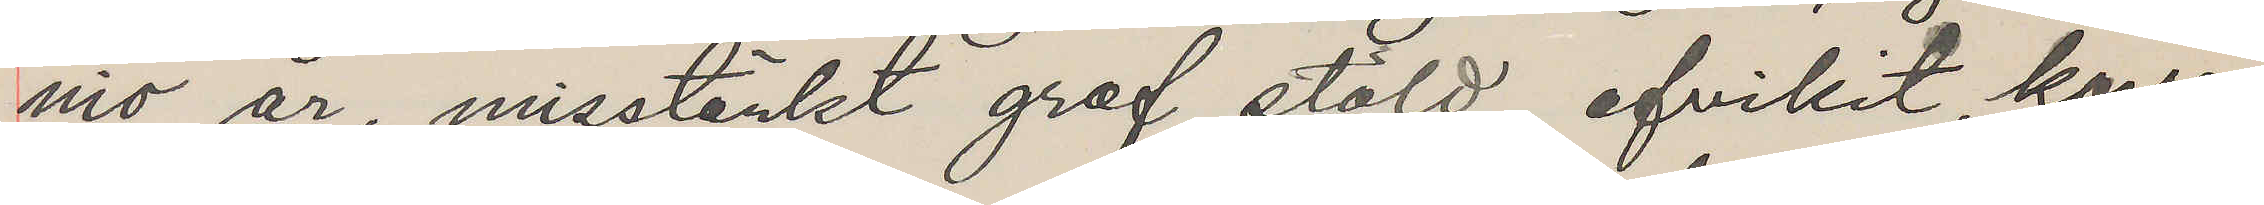nio år, misstänkt grof stöld, afvikit, korre¬
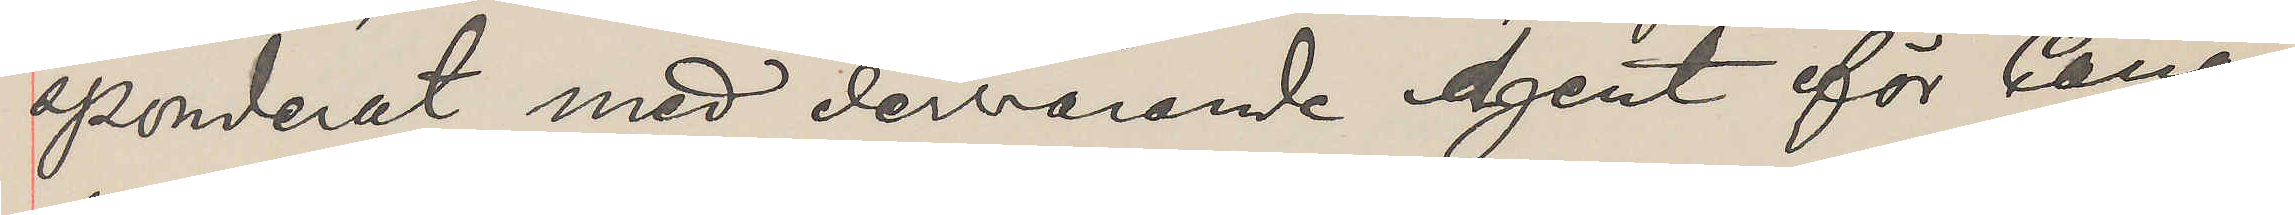sponderat med dervarande Agent för Cana¬
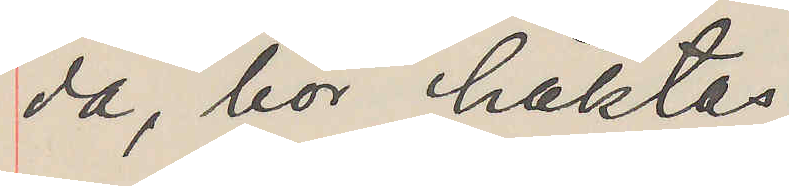da, bör häktas.
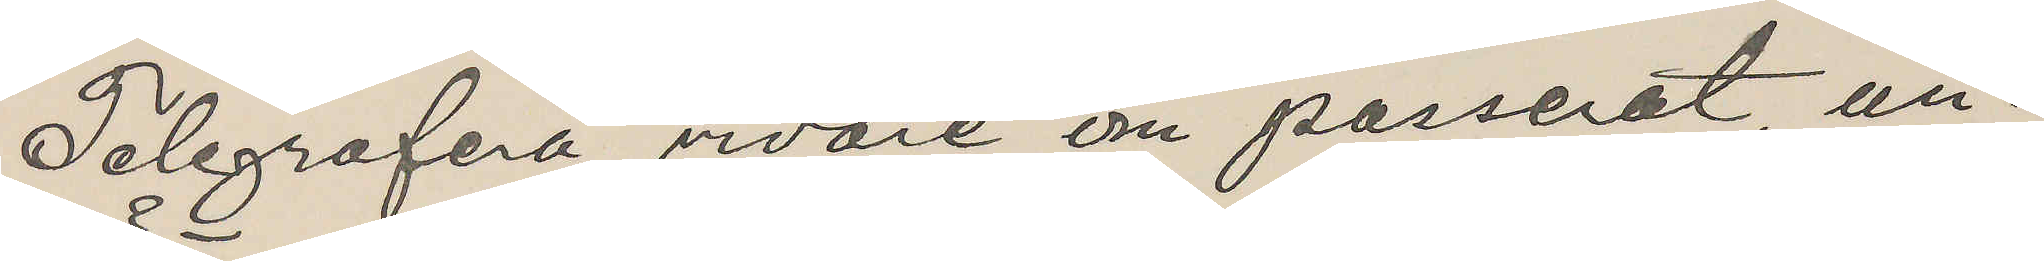Telegrafera vidare om passerat un¬
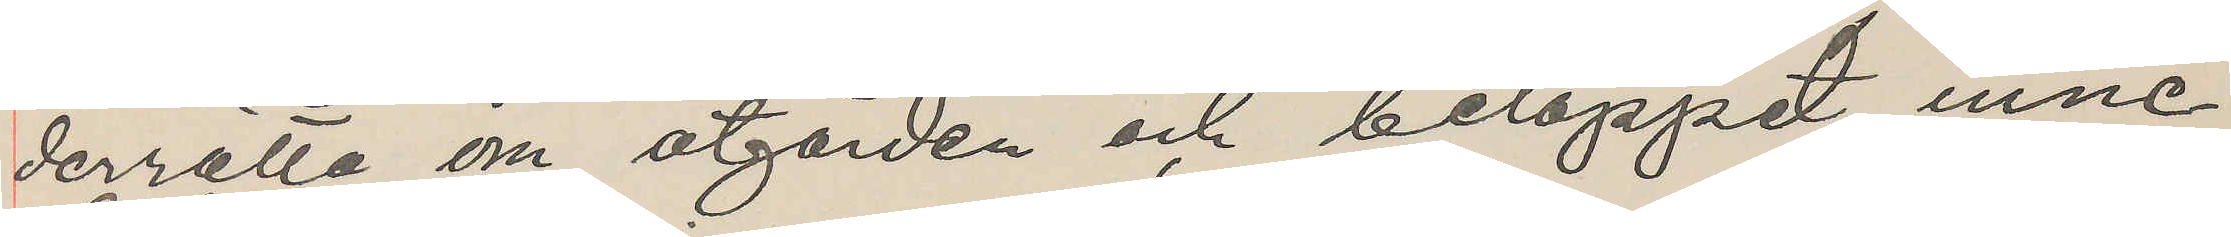derrätta om åtgärden och beloppet inne¬
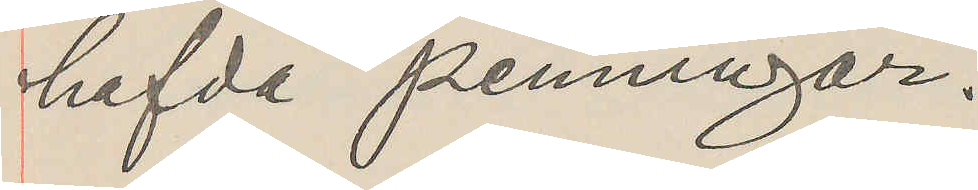hafda penningar.
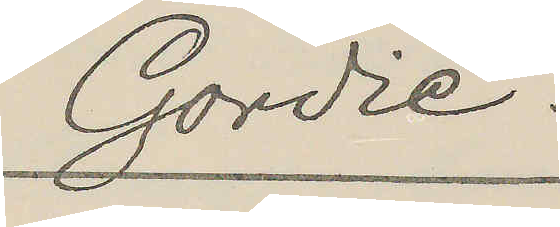Gordie.
